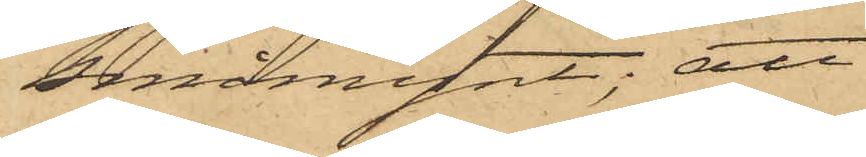småmynt; att
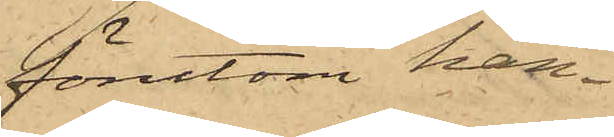förutom han¬
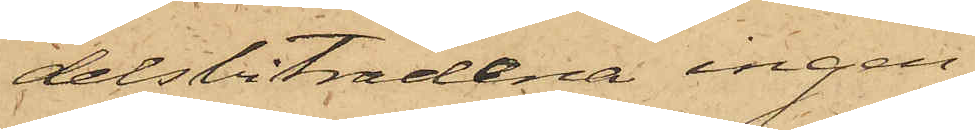delsbiträdena ingen
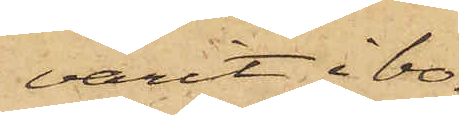varit i bo¬
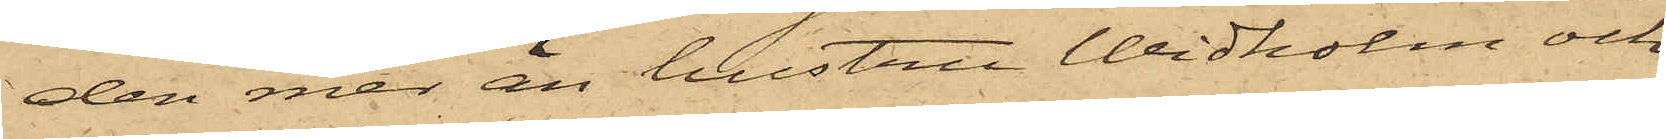den mer än hustru Widholm och
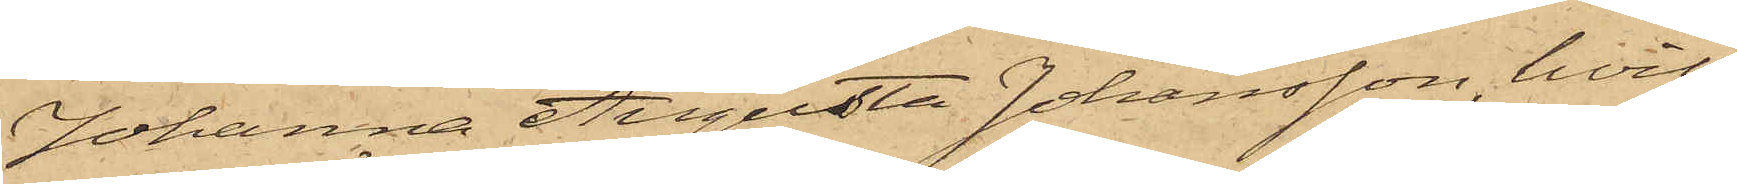Johanna Augusta Johansson, hvil¬
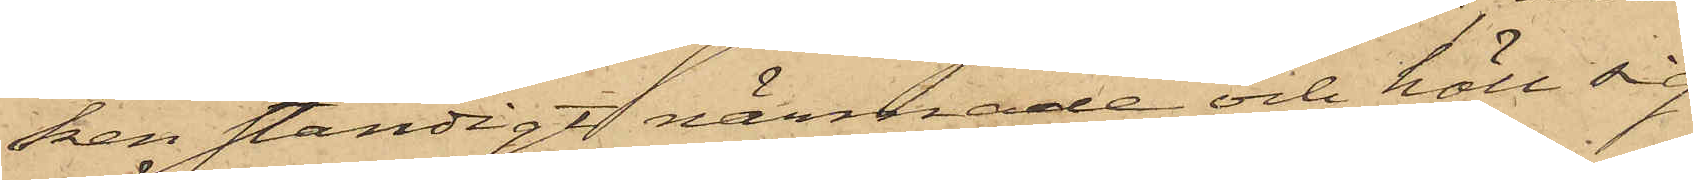ken ständigt närmade och höll sig
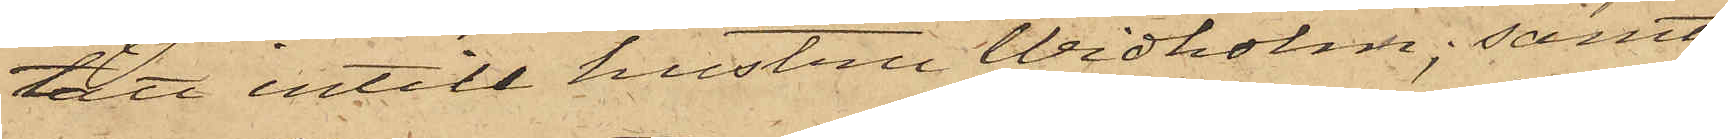tätt intill hustru Widholm; samt
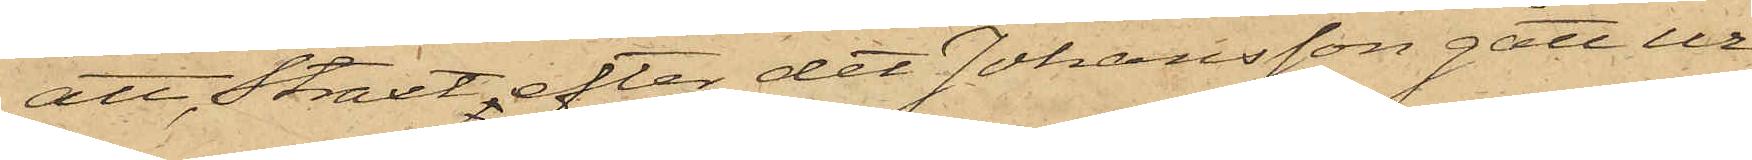att, straxt, efter det Johansson gått ur
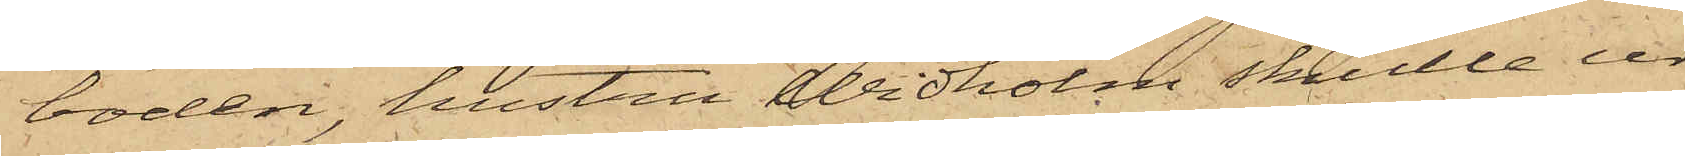boden, hustru Widholm skulle ur
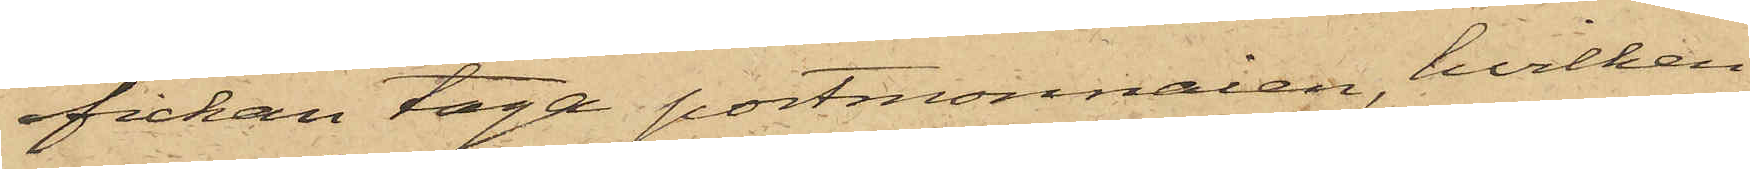fickan taga portmonnaien, hvilken
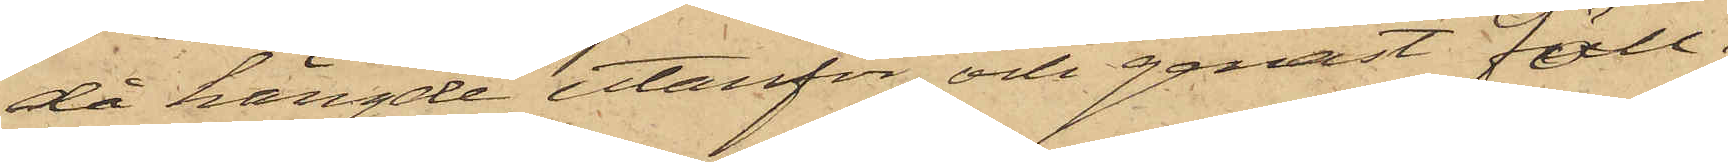då hängde utanför och genast föll i
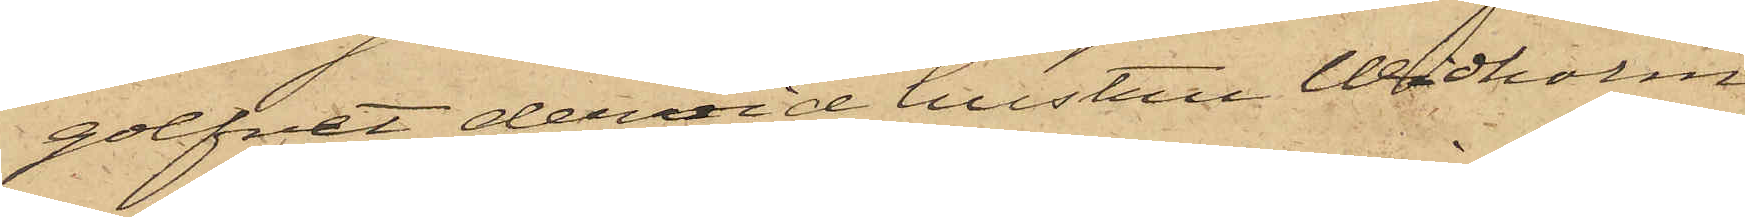golfvet, dervid hustru Widholm
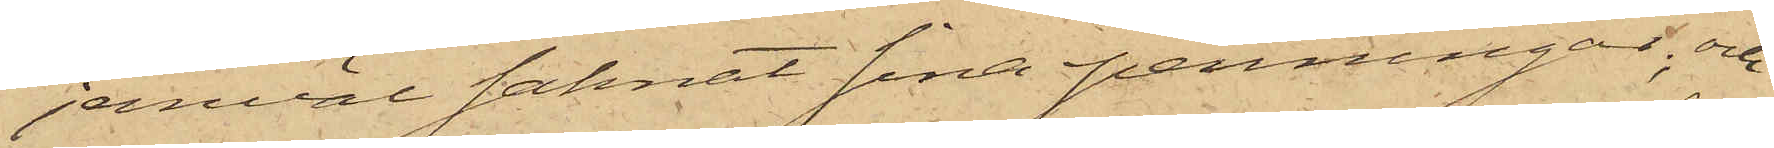jemväl saknat sina penningar; och
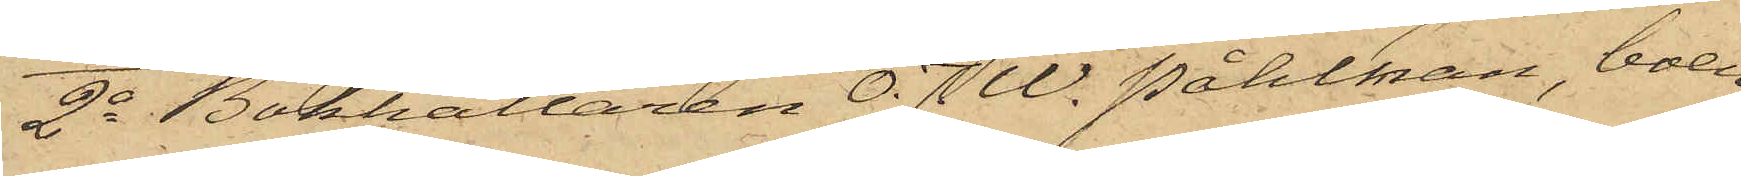2o Bokhållaren O. J. W. Påhlman, boen¬
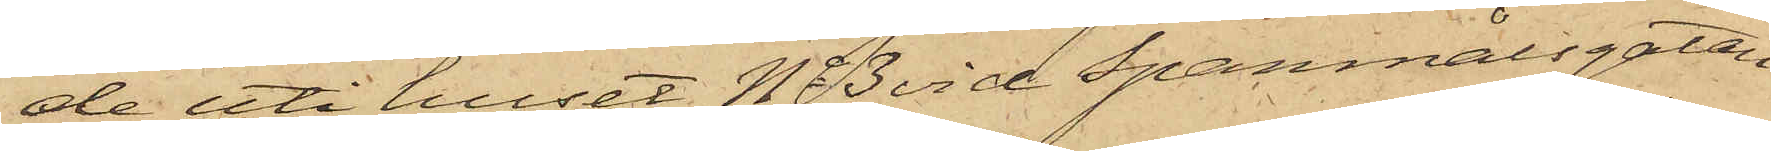de uti huset No 3 vid Spanmålsgatan,
